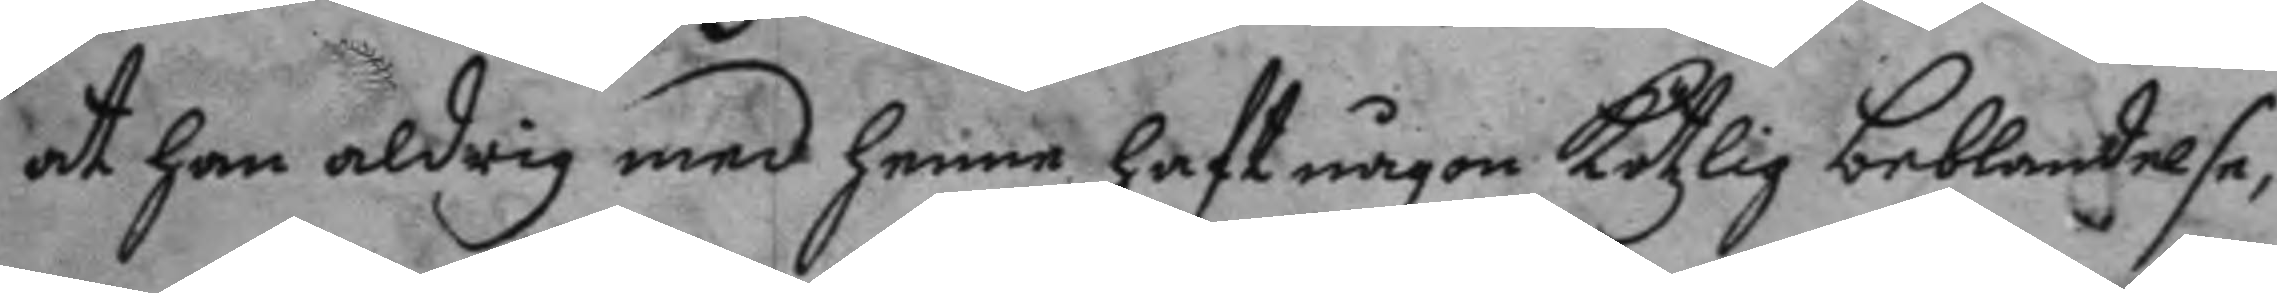at han aldrig med henne haft någon kötzlig beblandelse,
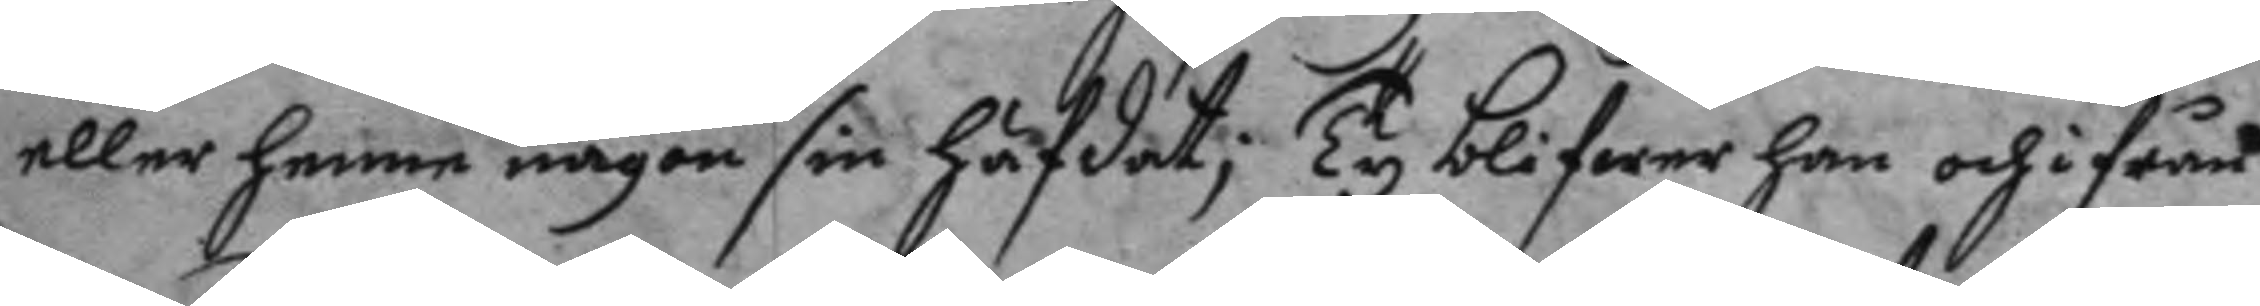eller henne någon sin häfdat; Ty blifwer han och ifrån
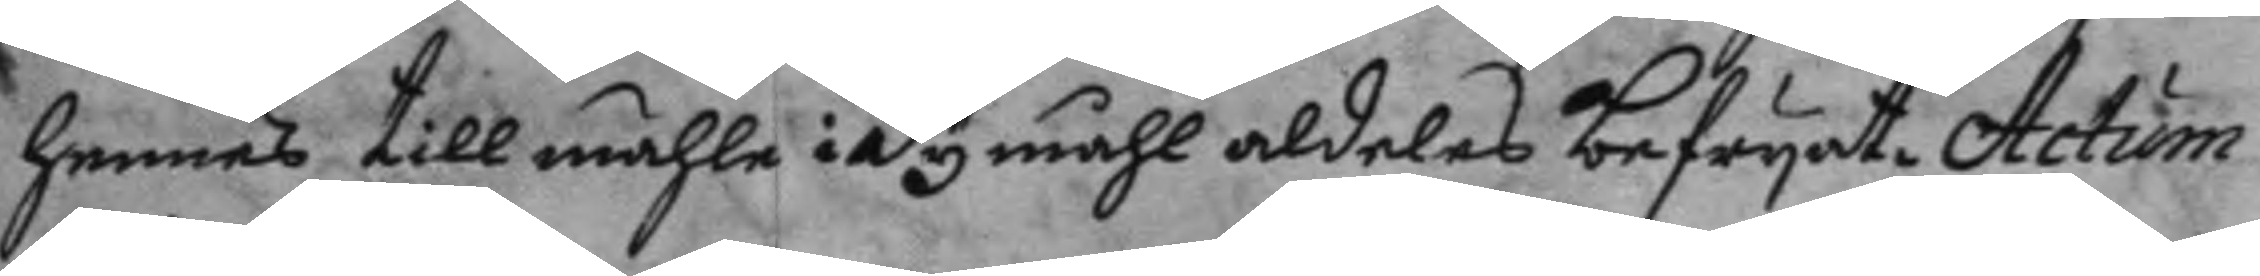hennes tillmähle i dy måhl aldeles befryat. Actum
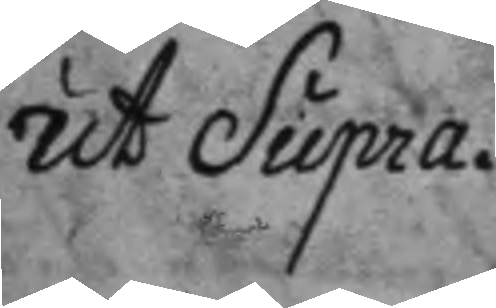ut Supra.
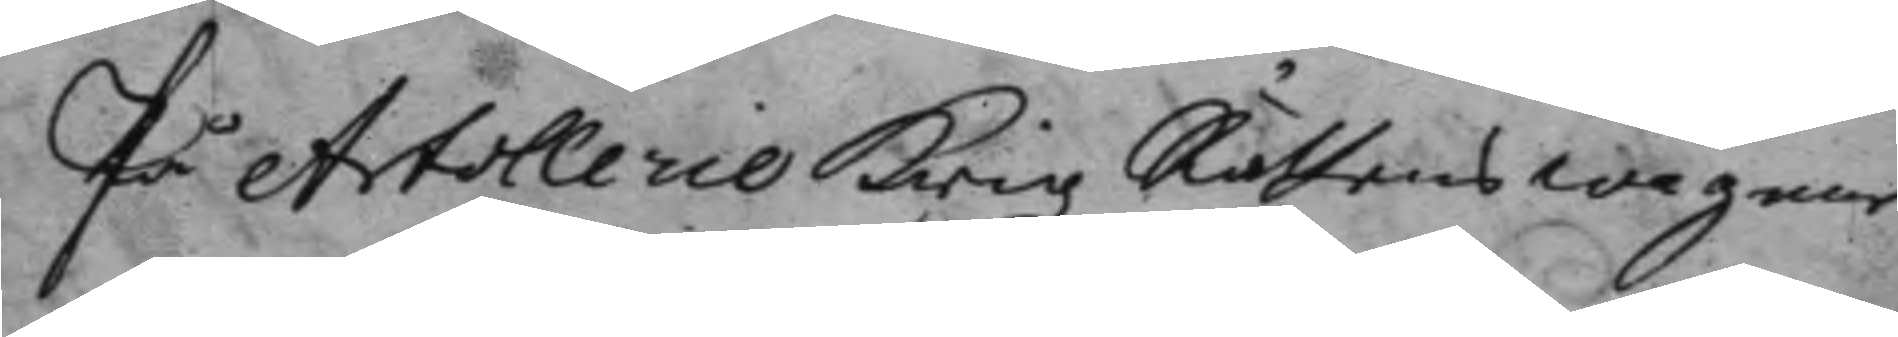På Artollerie Krigz Rättens wägnar.
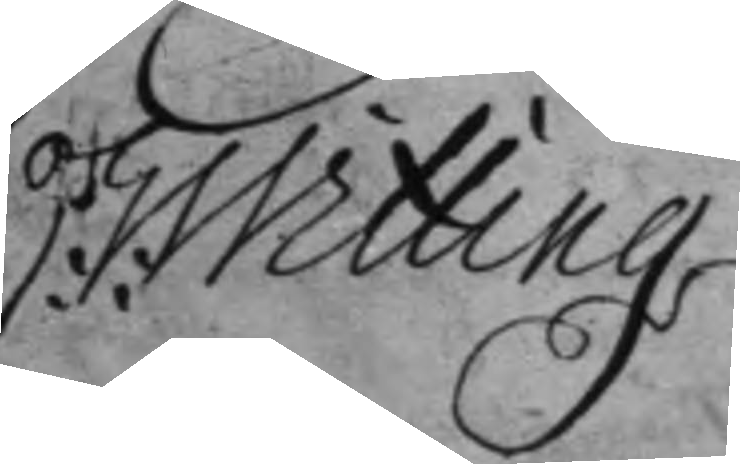E: Witting
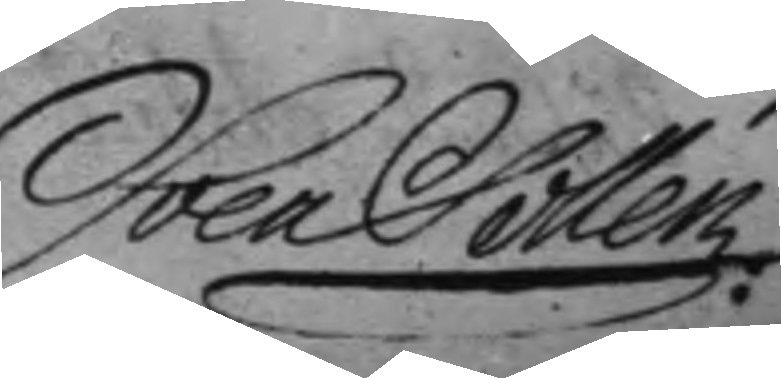Sven Sellén
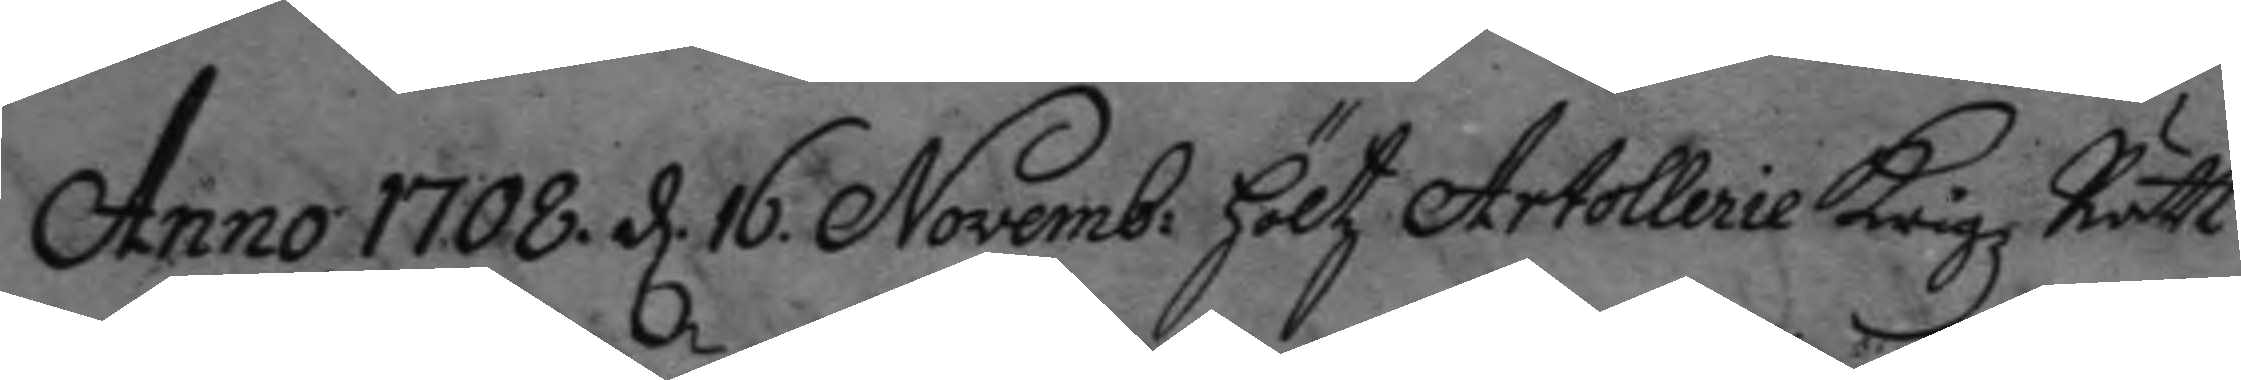Anno 1708. d. 16 Novemb: höltz Artollerie Krigz Rätt
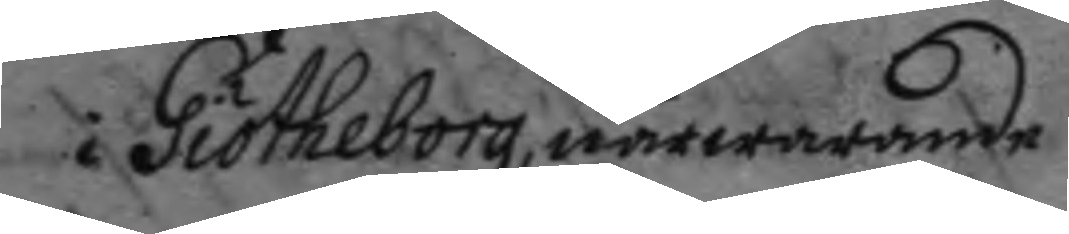i Giötheborg, närwarande
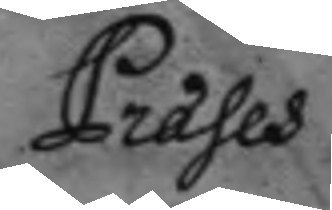Præses
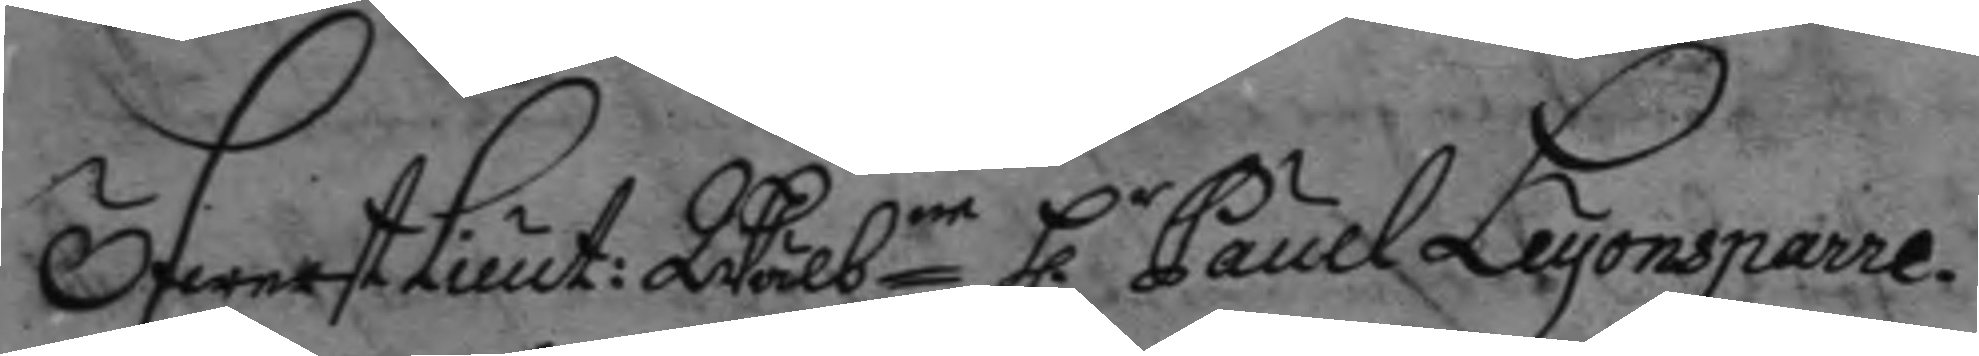ÖfwerstLieut: Wälb.ne h.r Paul Leyonsparre.
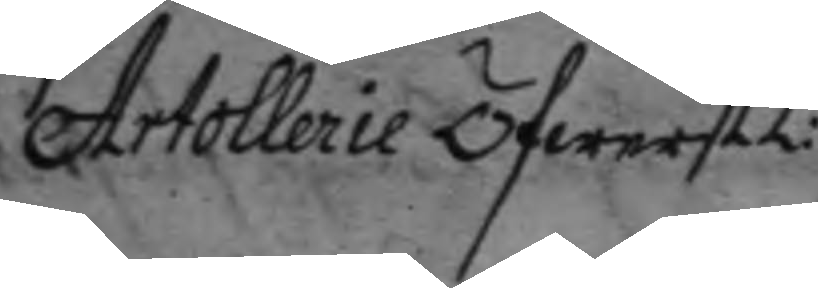Artollerie ÖfwerstL:
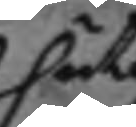uti
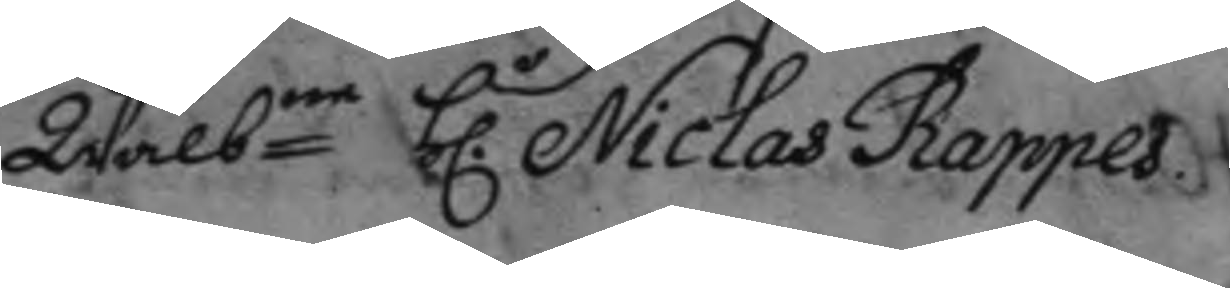Wälbne h.r Niclas Rappes
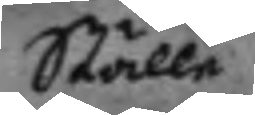Ställe
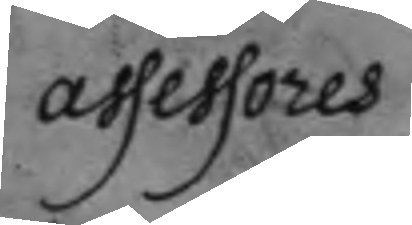assessores
